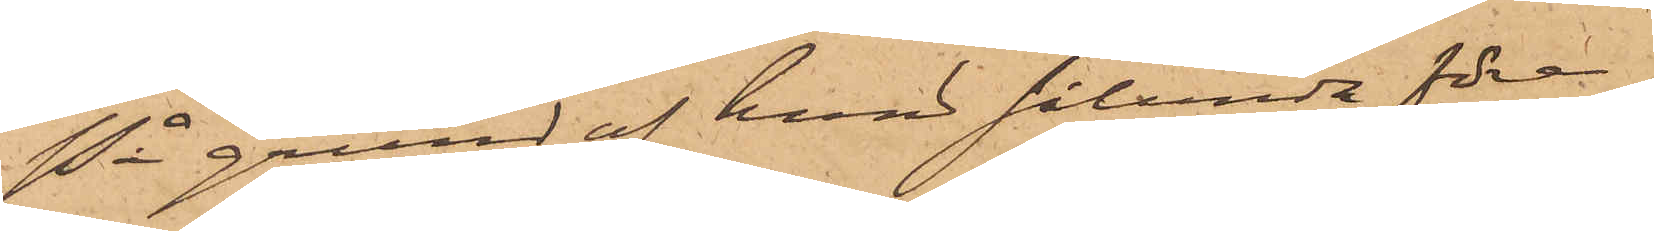På grund af hvad sålunda före¬
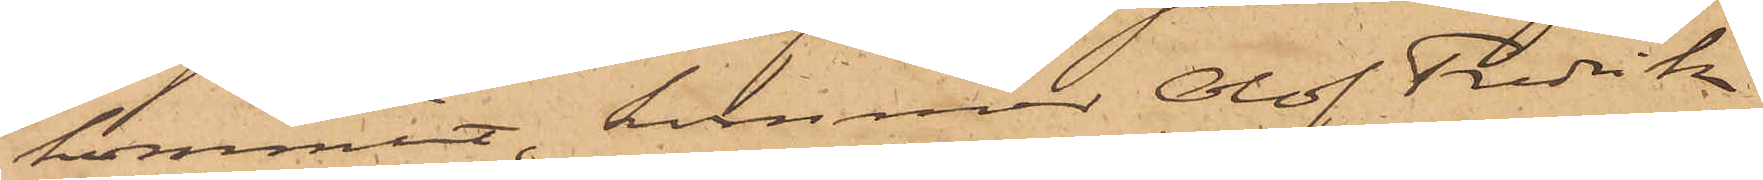kommit, kommer Olof Fredrik
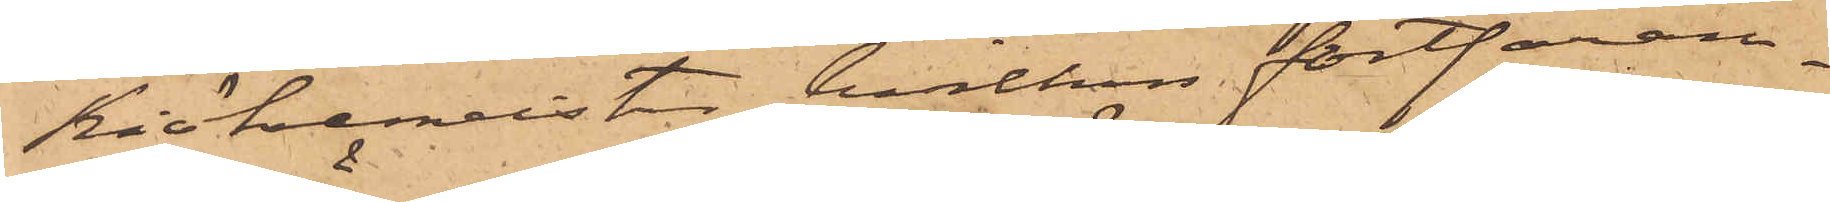Kiökemeister, hvilken fortfaran¬
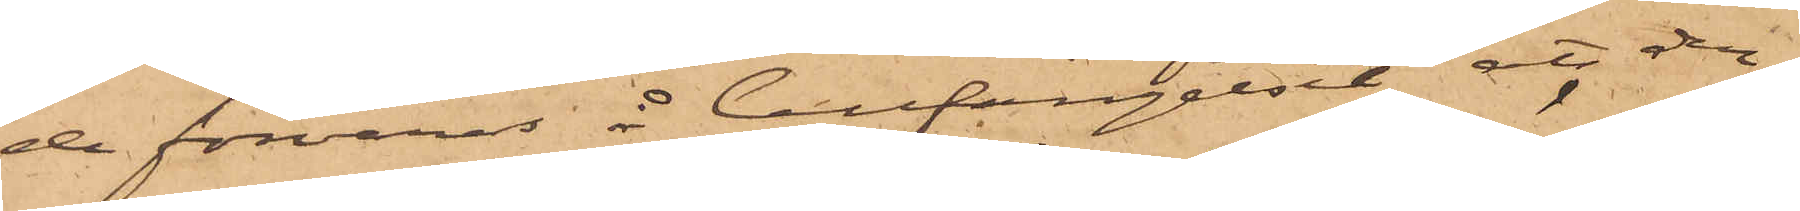de förvaras å Cellfängelset; att den¬
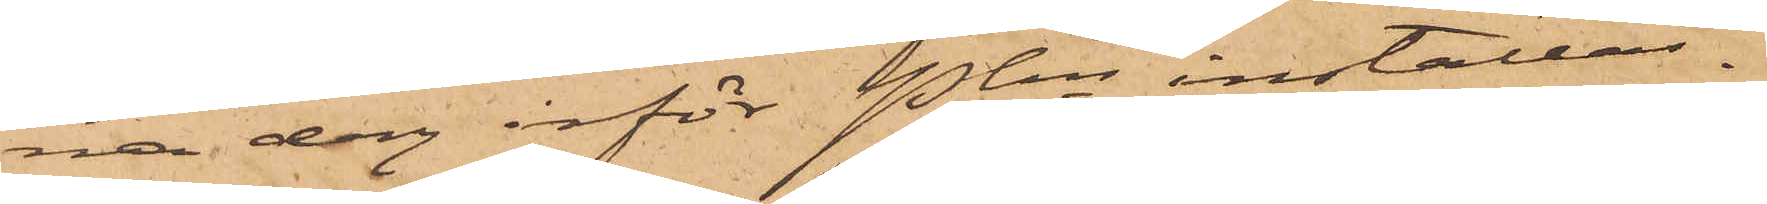na dag inför Pkn inställas.
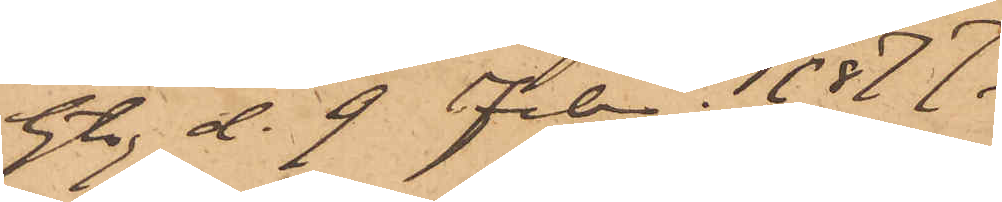Gbg d. 9 Febr. 1877.
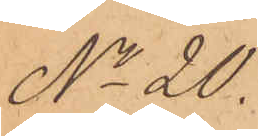No 20.
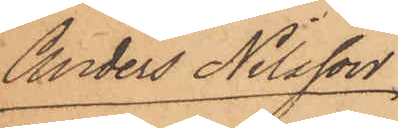Anders Nilsson
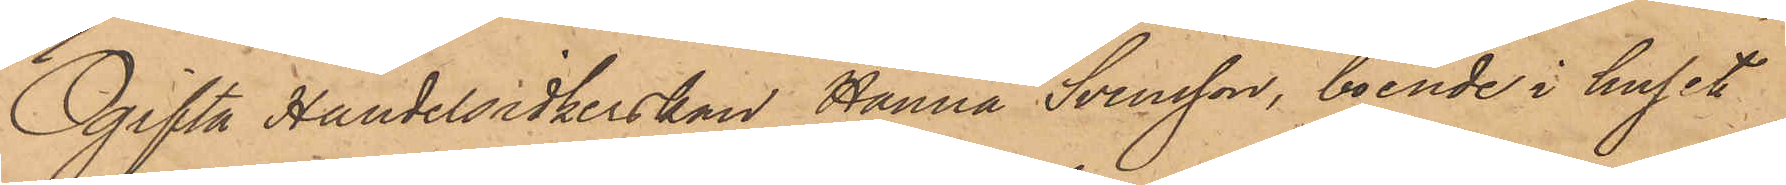Ogifta Handelsidkerskan Hanna Svensson, boende i huset
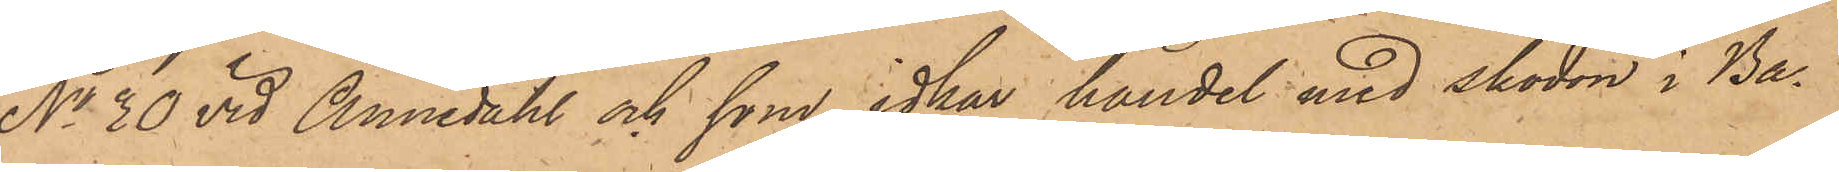No 30 vid Annedahl och som idkar handel med skodon i Ba¬
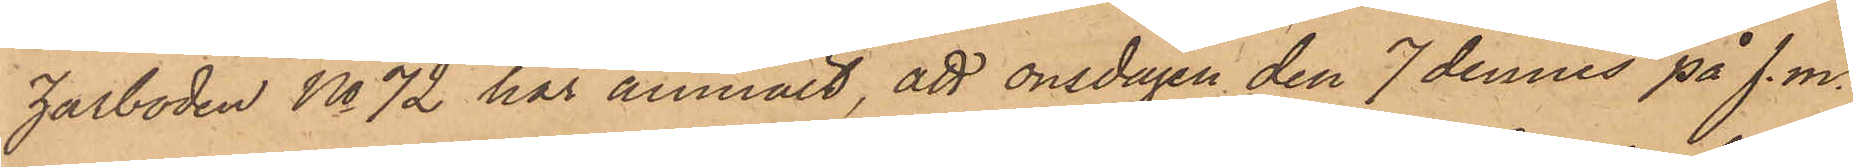zarboden No 72 har anmält, att onsdagen den 7 dennes på f. m.
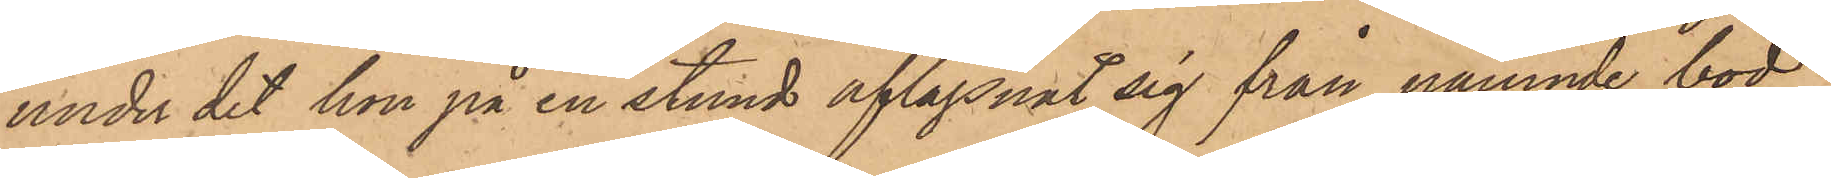under det hon på en stund aflägsnat sig från nämnde bod,
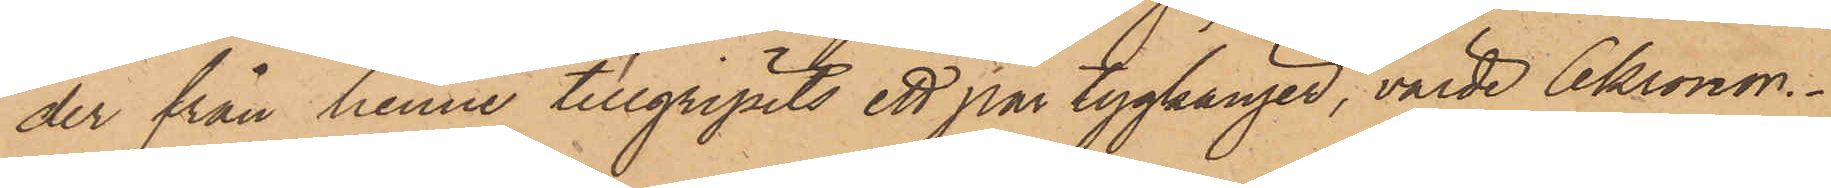der från henne tillgripits ett par tygkänger, värde 6 kronor.
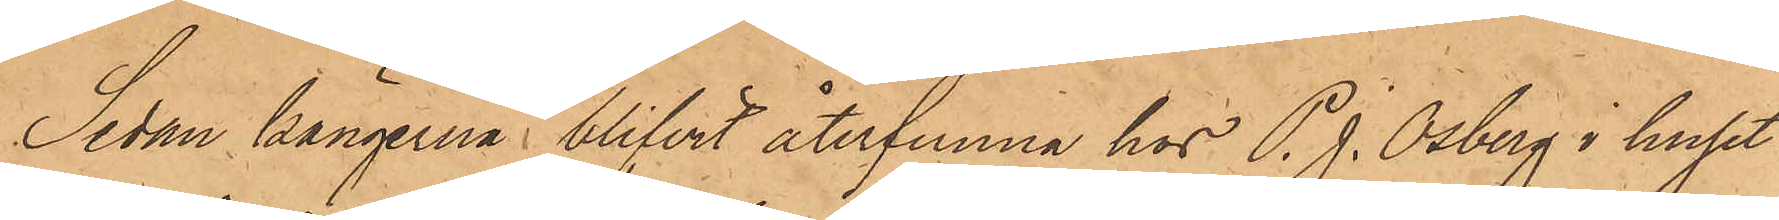Sedan kängerna blifvit återfunna hos P. J. Osberg i huset
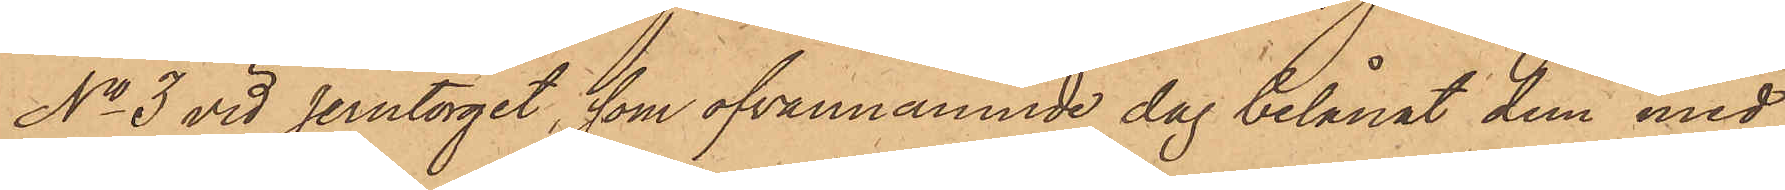No 3 vid Jerntorget, som ofvannämnde dag belånat dem med
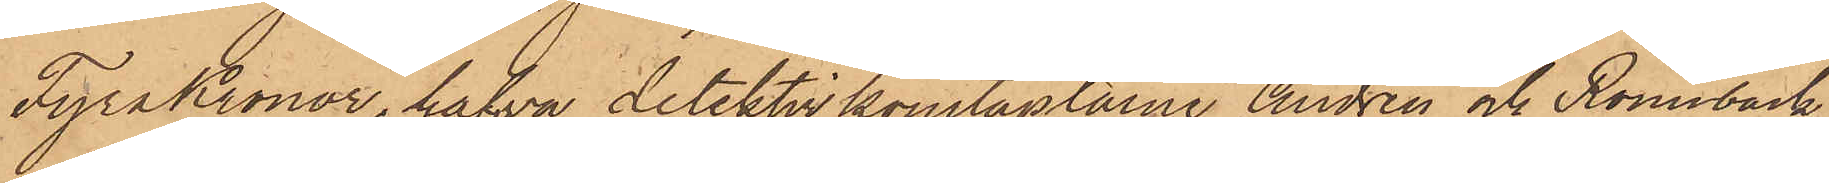Fyra Kronor, hafva detektivkonstaplarne Andrén och Rönnbäck
